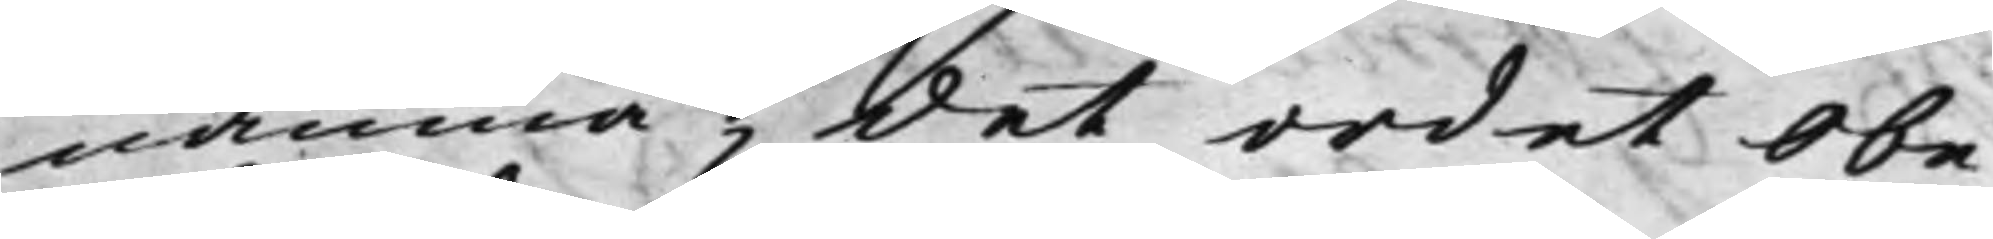nämna; det ordet obe¬
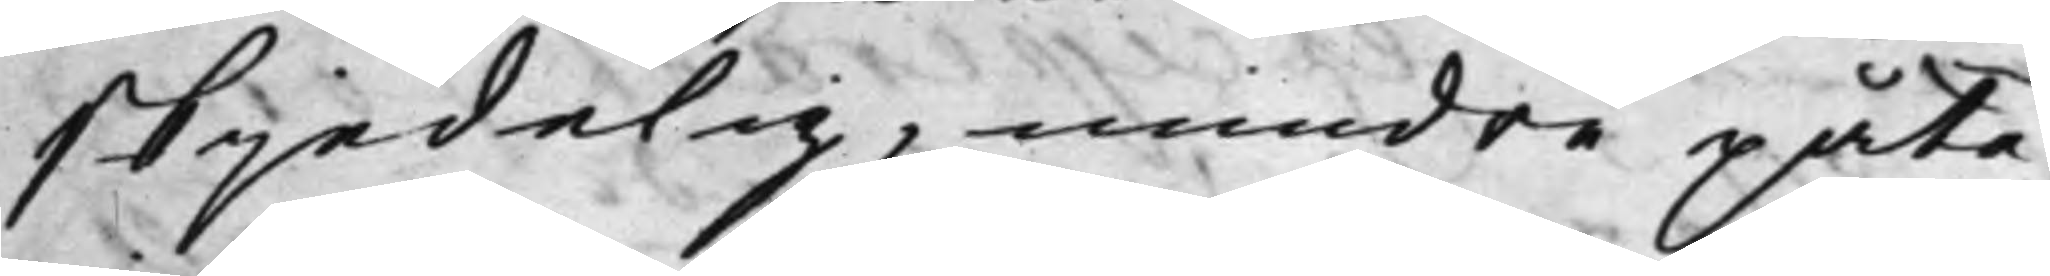skjedelig, mindre påta¬
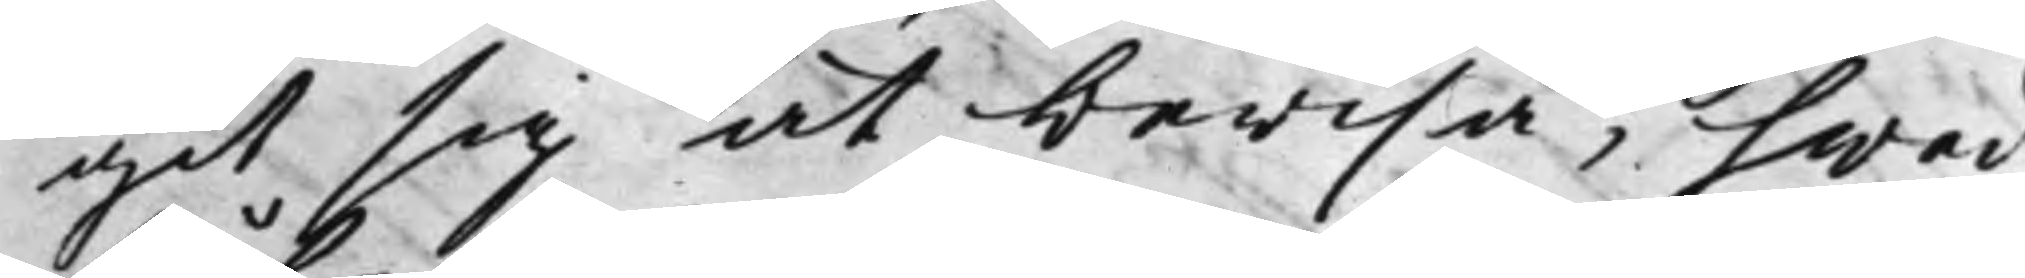git sig at bewisa, hwad
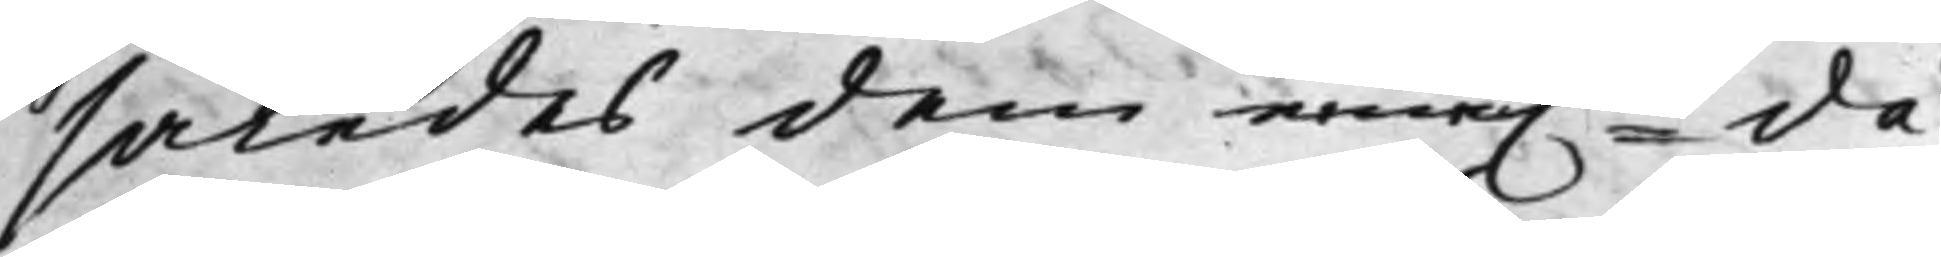således dem eme.n då
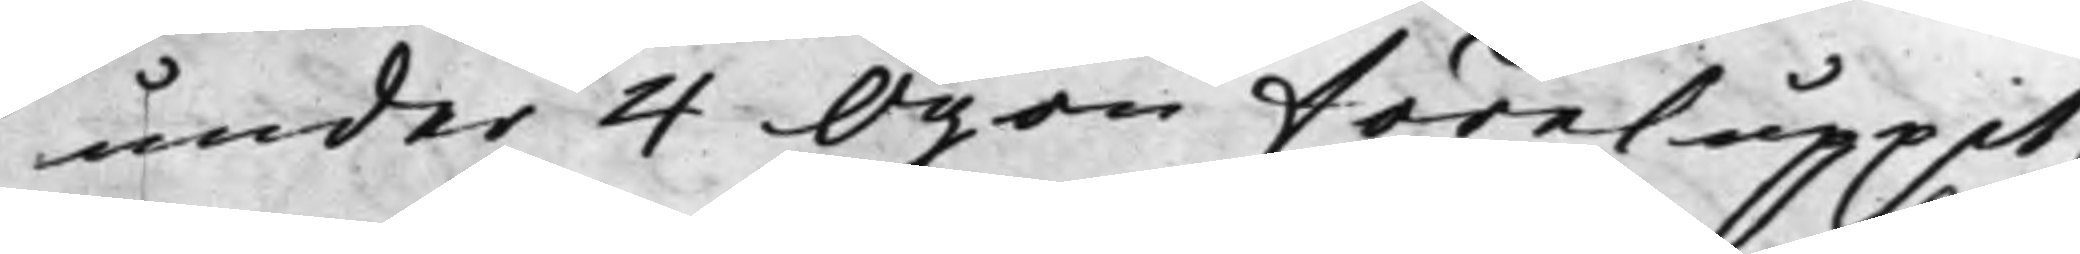under 4 Ögon föreluppit,
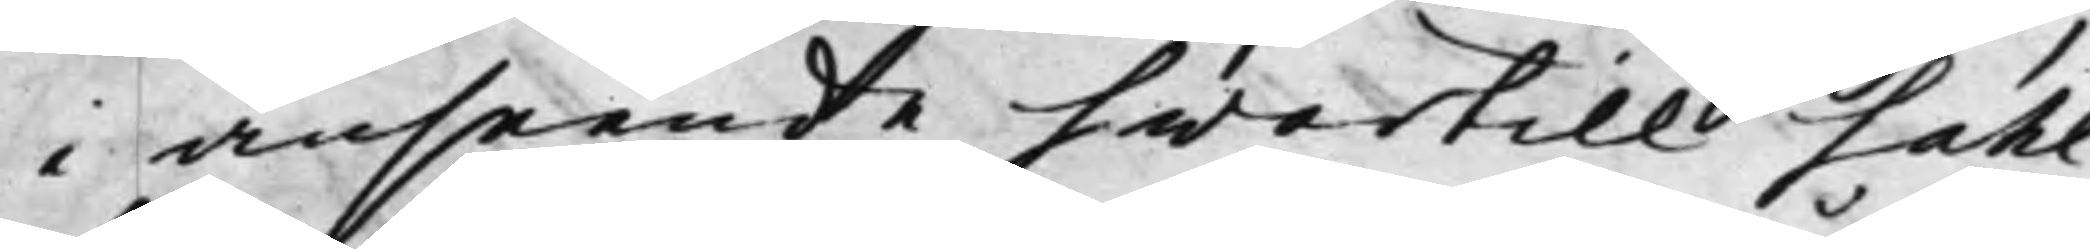i anseende hwartill Sahl¬
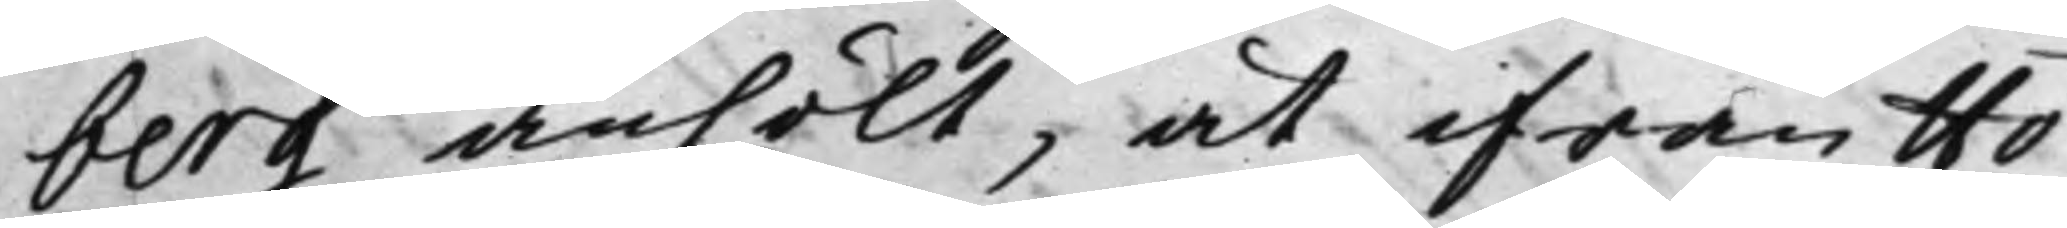berg anhölt, at ifrån Hö¬
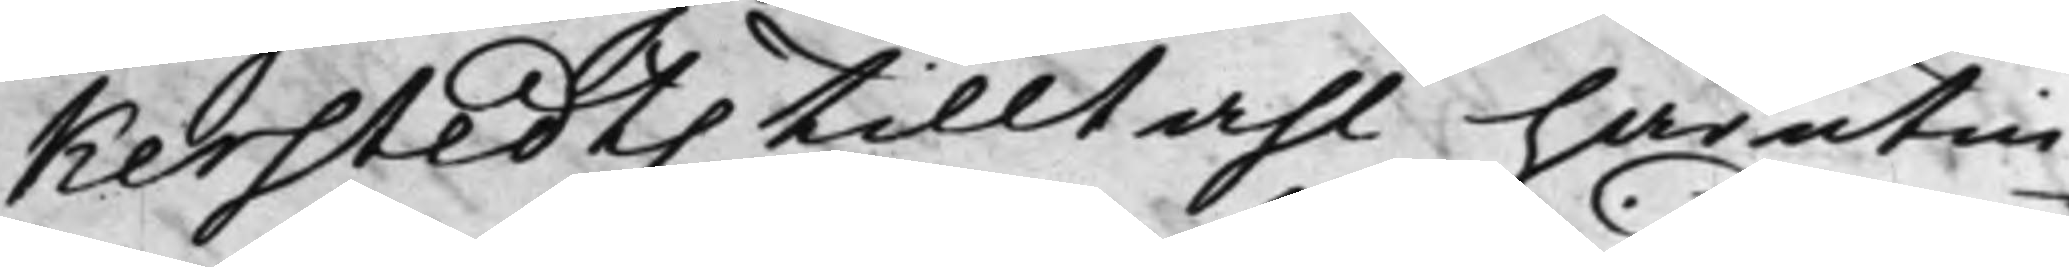kerstedts tilltahl härutin¬
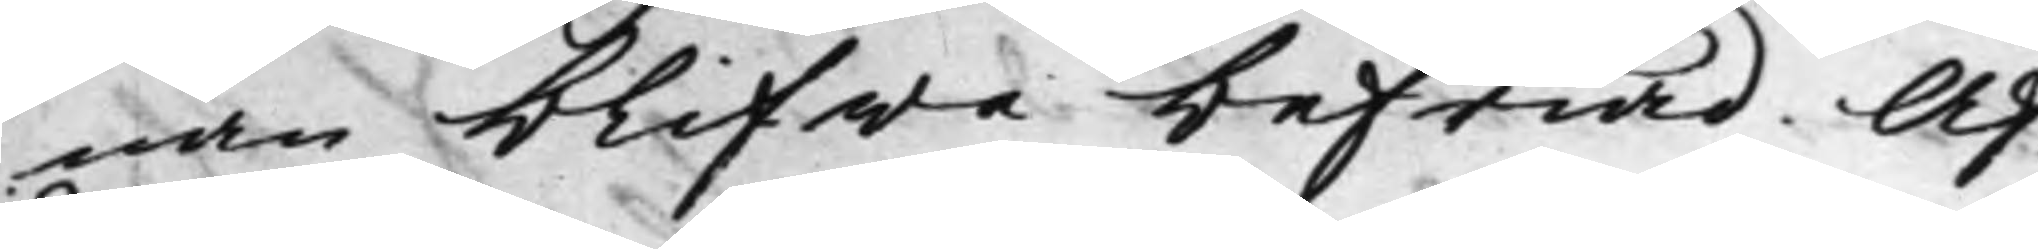nan blifwa befriad; Af¬
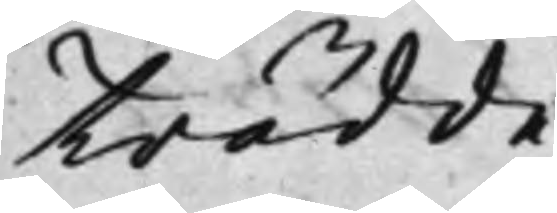trädde.
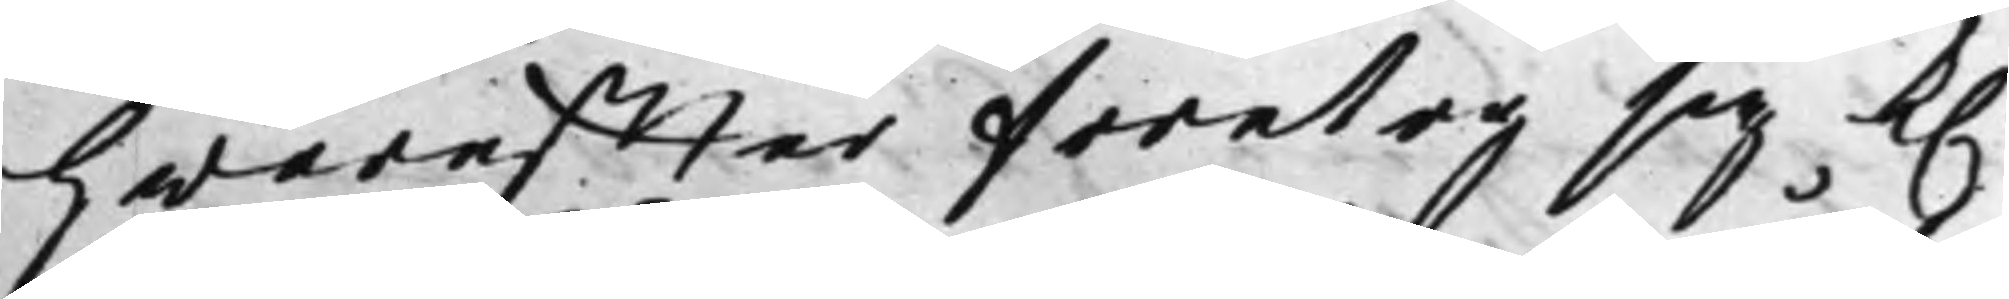Hwareffter företog sig K.
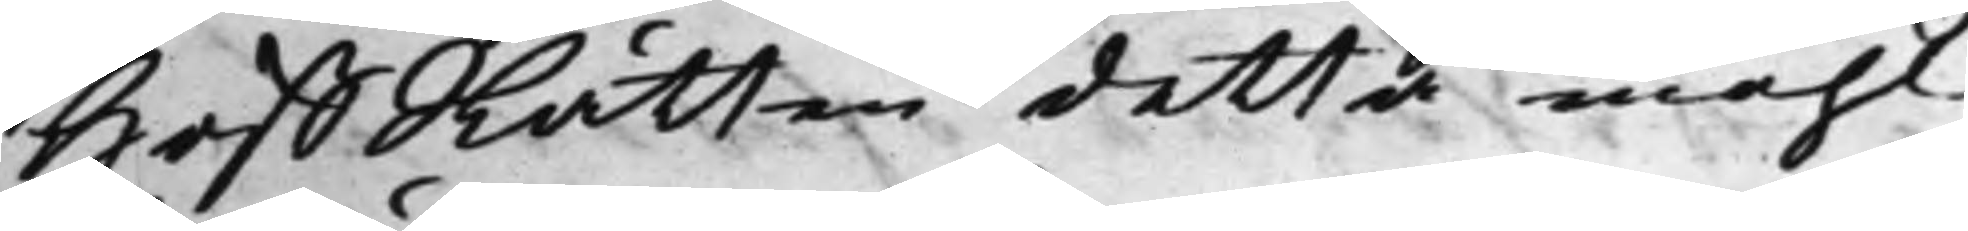HoffRätten detta måhl¬
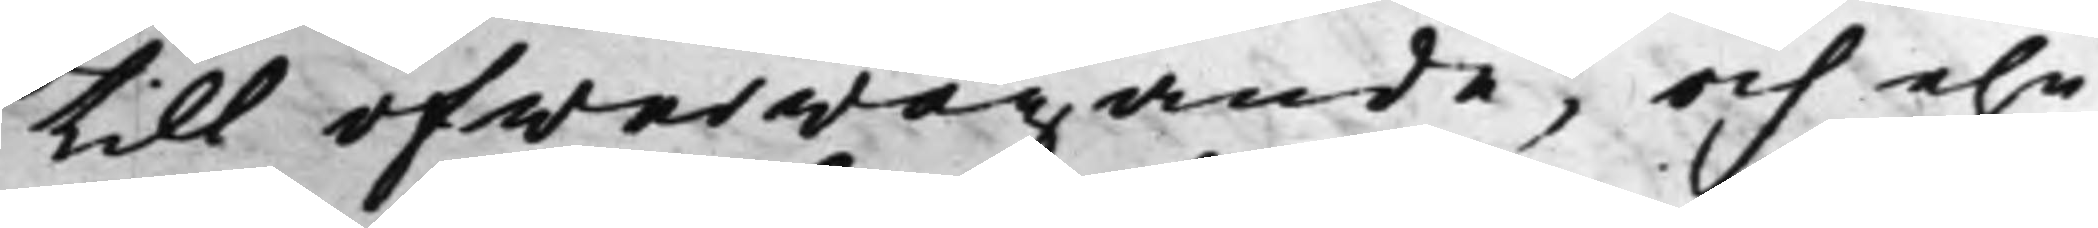till öfwerwägande, och ehu¬
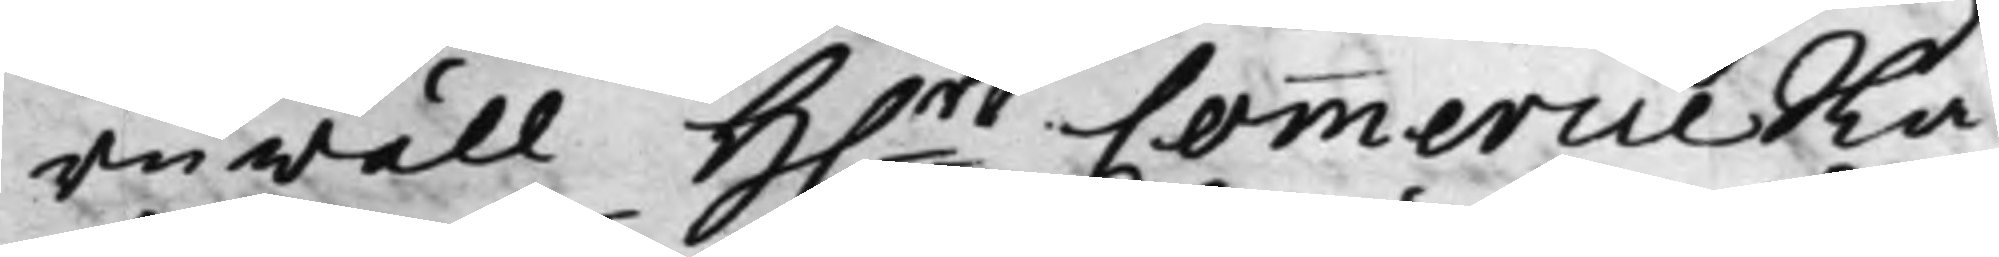ruwäll H.r CommercieRå¬
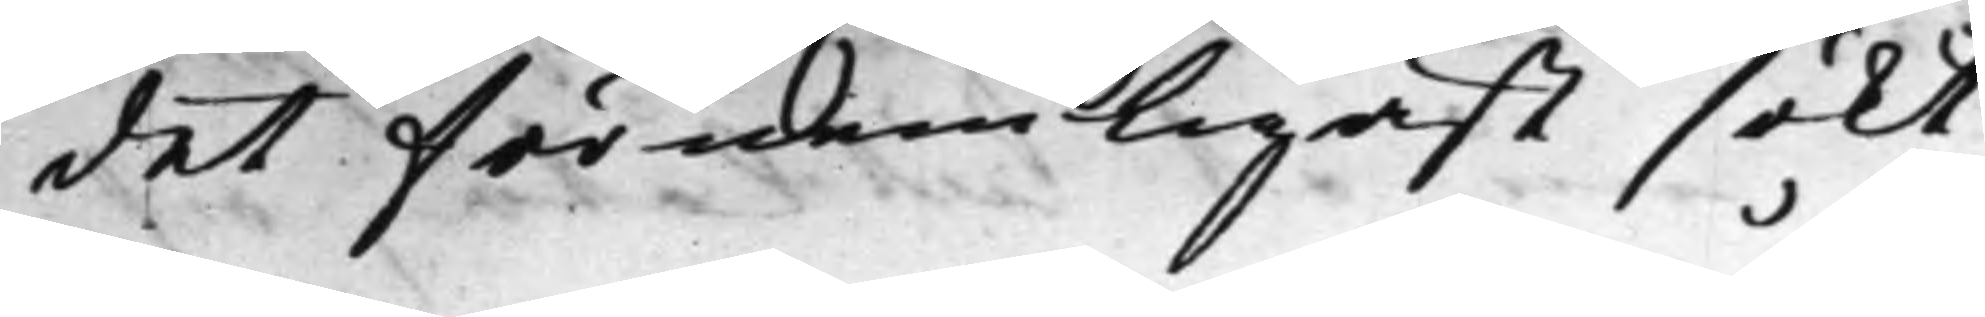det förmenligast sökt
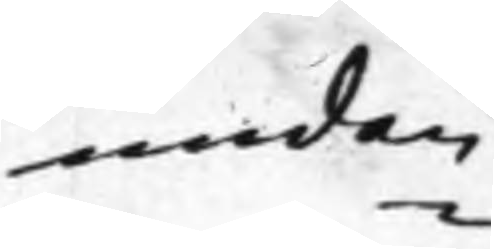undan¬
